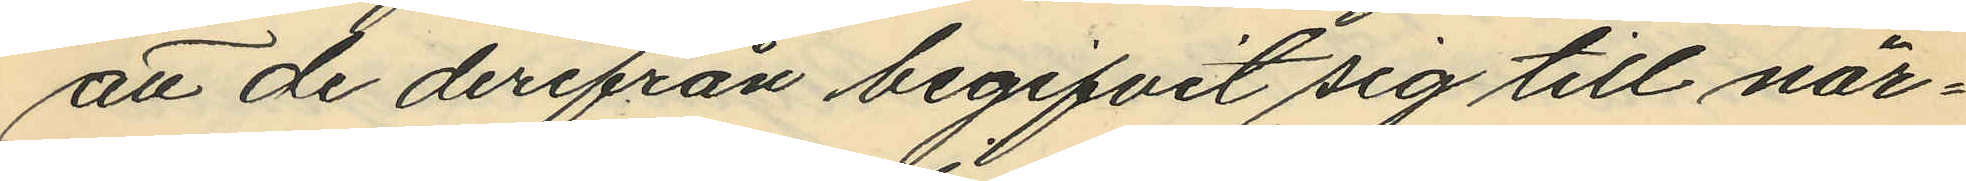att de derifrån begifvit sig till när¬
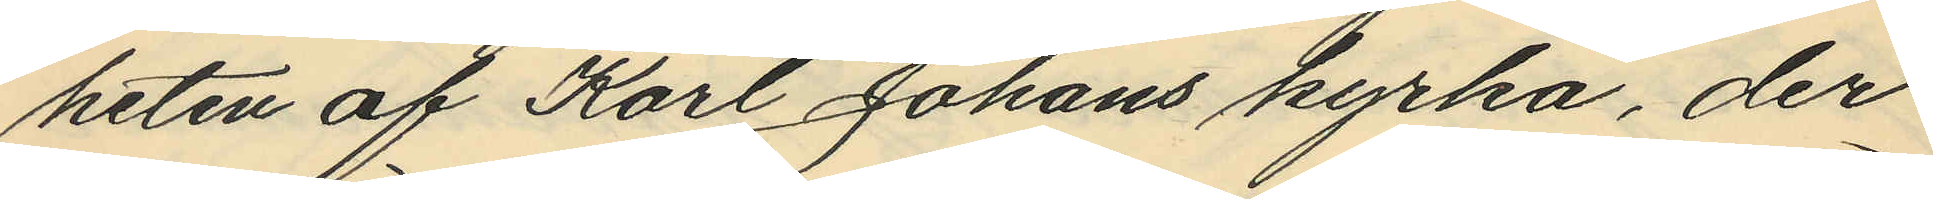heten af Karl Johans kyrka, der
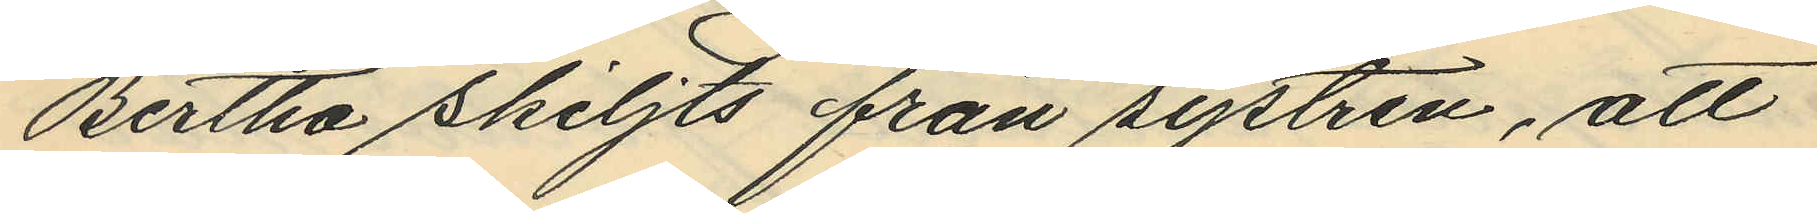Bertha skiljts från systren, att
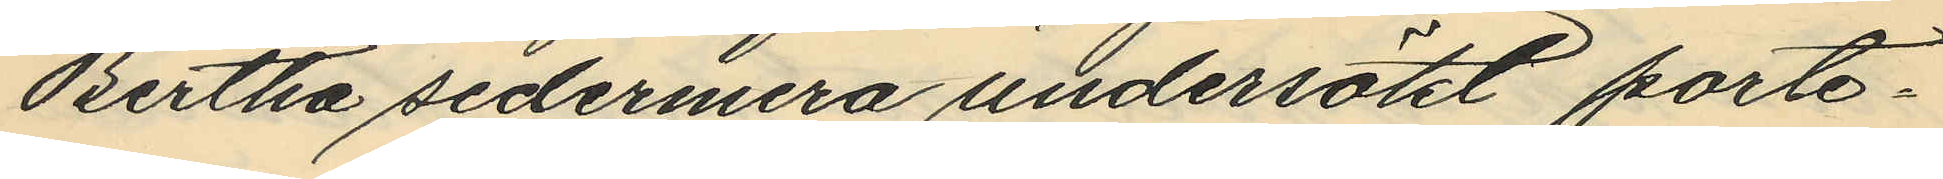Bertha sedermera undersökt porte¬
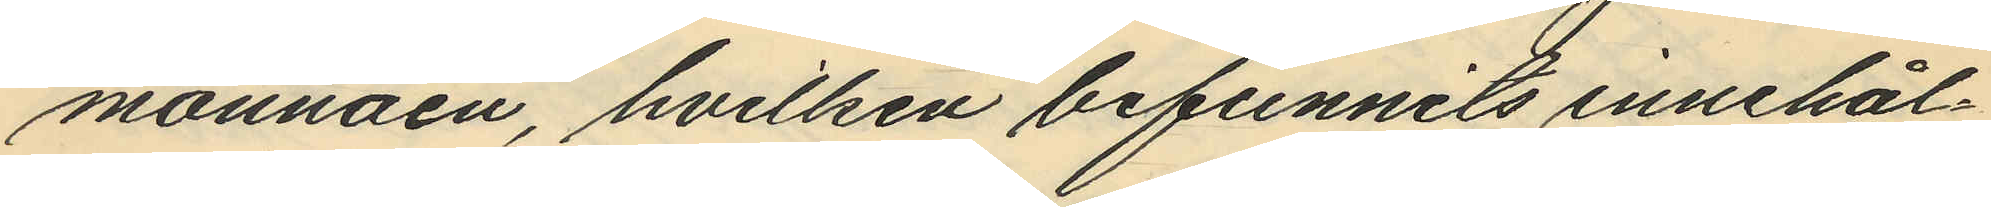monnäen, hvilken befunnits innehål¬
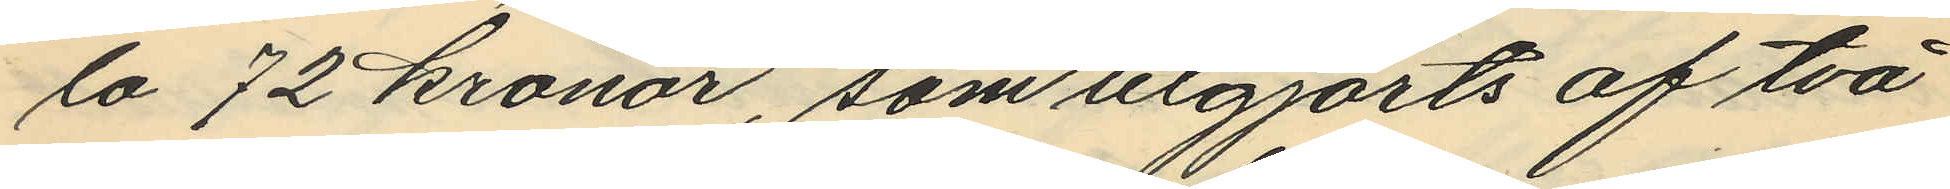la 72 kronor, som utgjorts af två
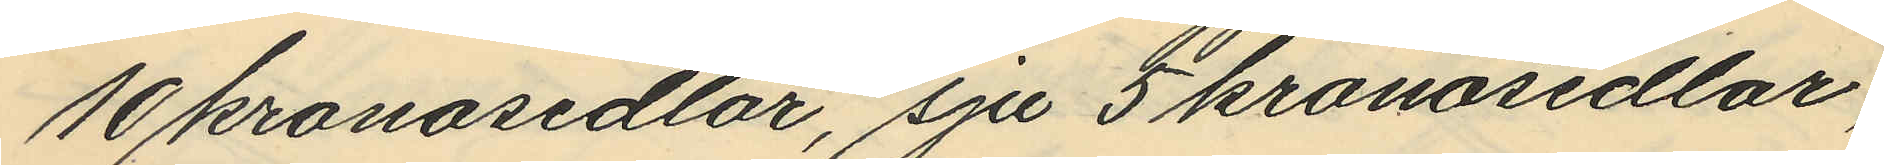10 kronosedlar, sju 5 kronosedlar,
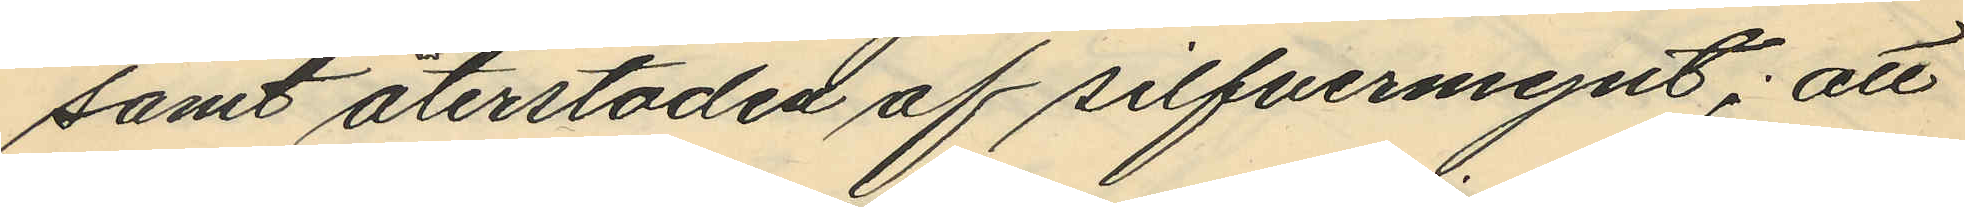samt återstoden af silfvermynt; att
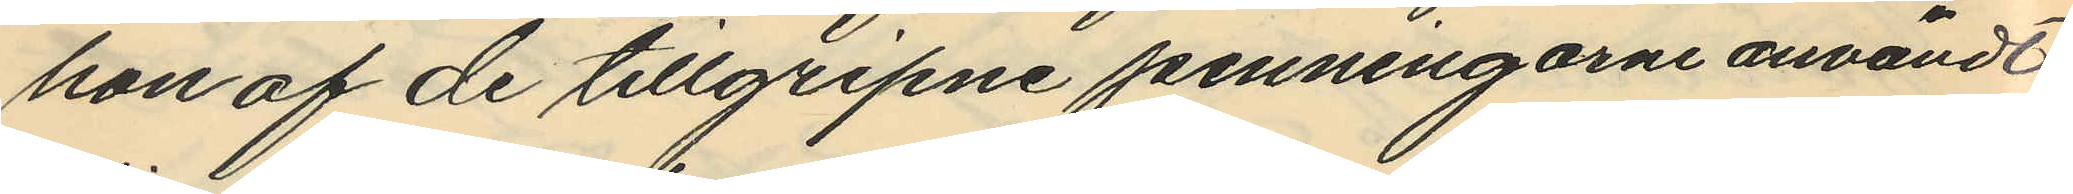hon af de tillgripne penningarne användt
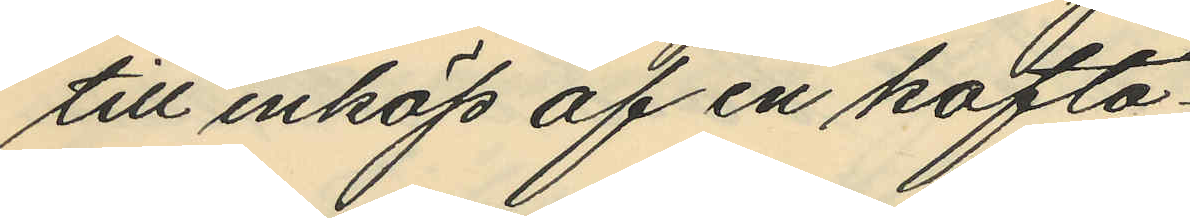till inköp af en kofta
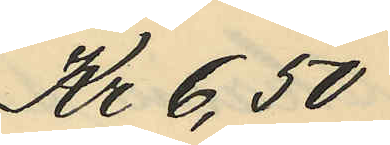Kr 6,50
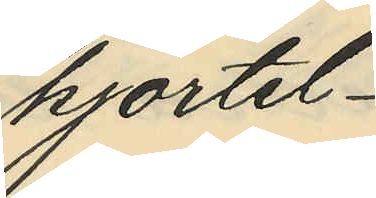kjortel
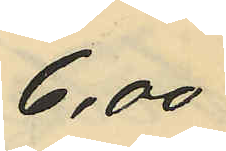6,00
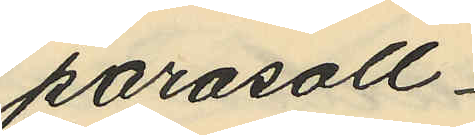parasoll
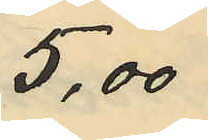 5,00
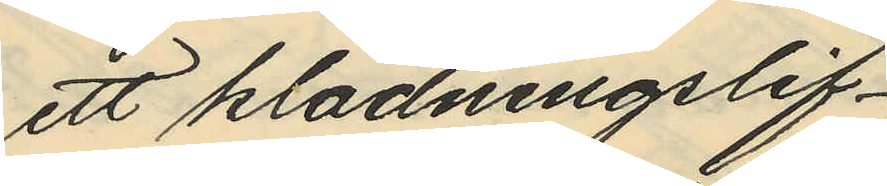ett klädningslif
